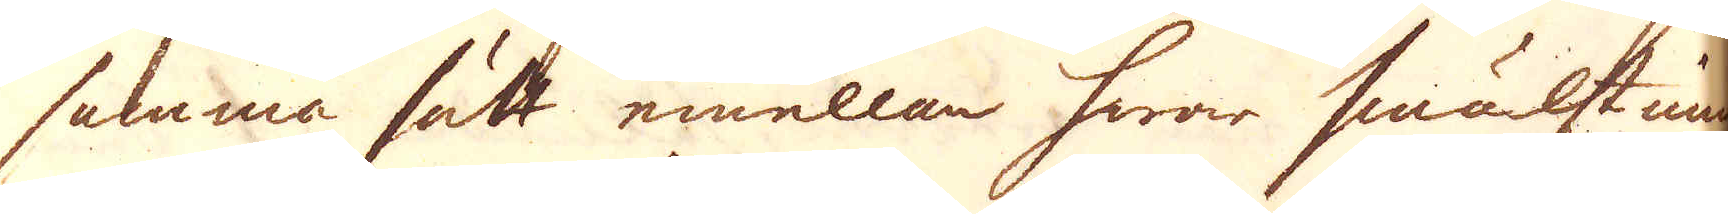samma sätt emellan hwar smälstning
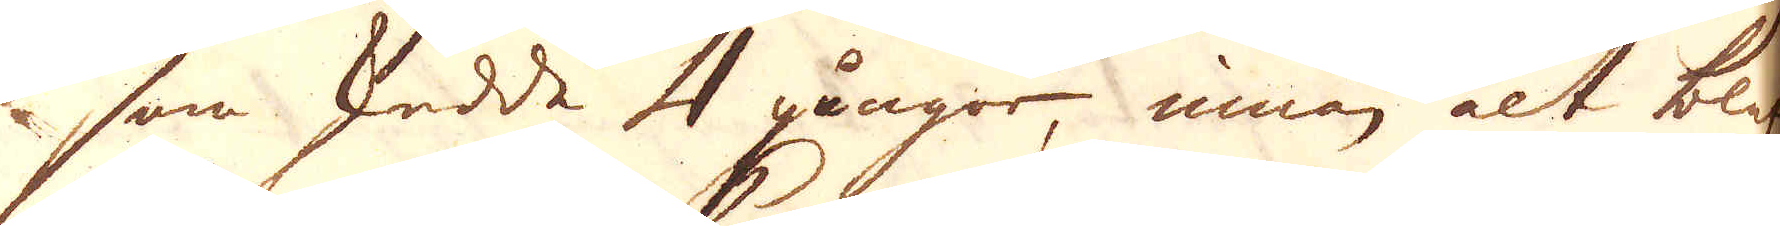som skedde 4 gångor, innan alt blef
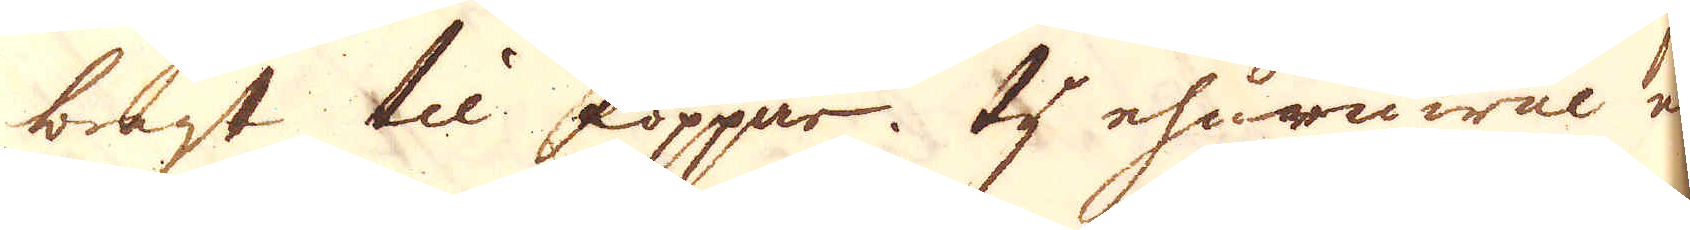bragt til koppar. Ty ehuruwäl en
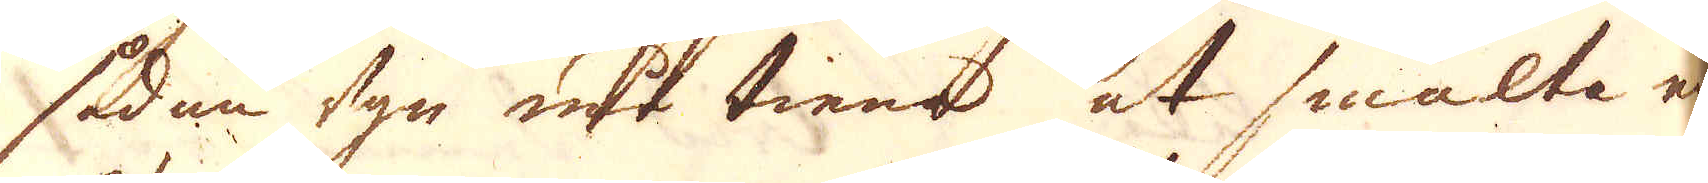sådan ugn må tiena at smälta ej
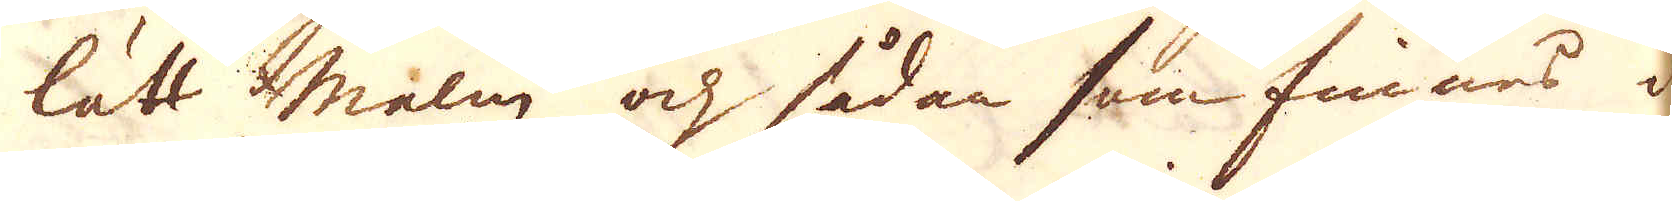lätt malm och sådan som finnas i
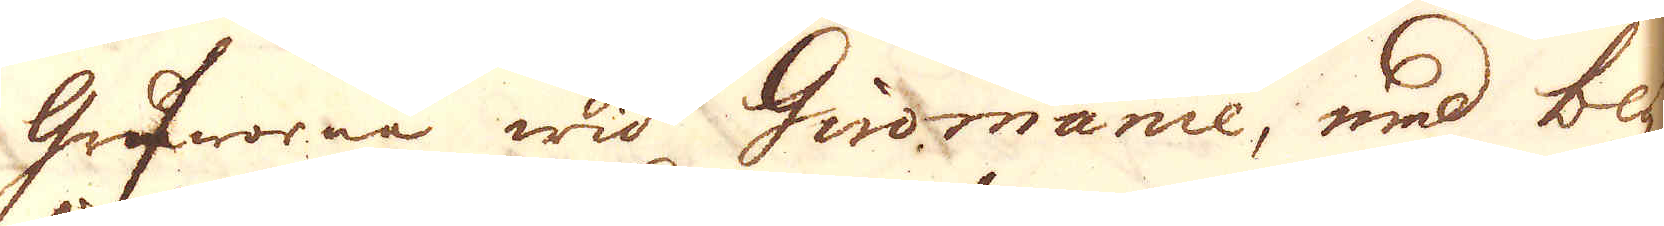Gruworna wid Giromanie, med bly,
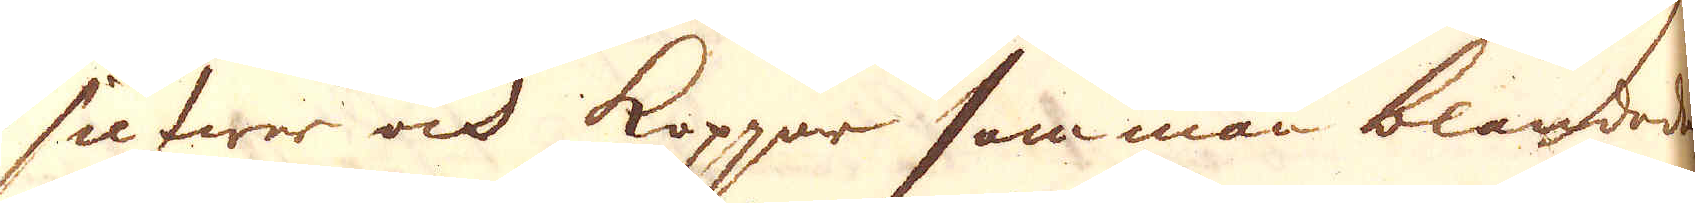silfwer och koppar samman blandade
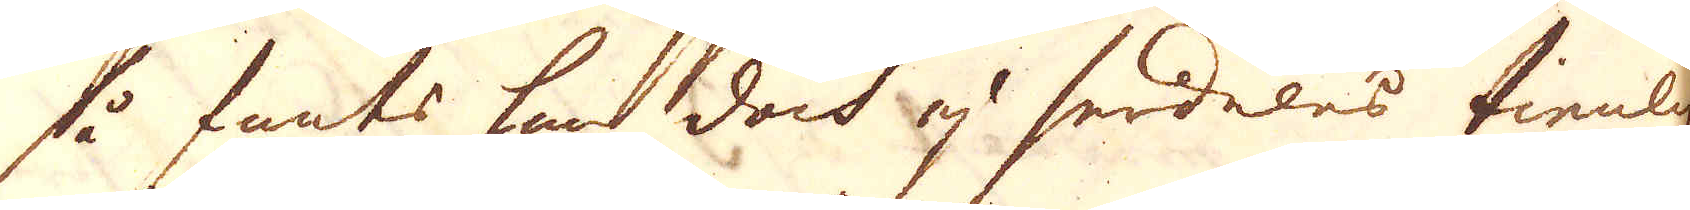så fants han doch ej serdeles tienlig
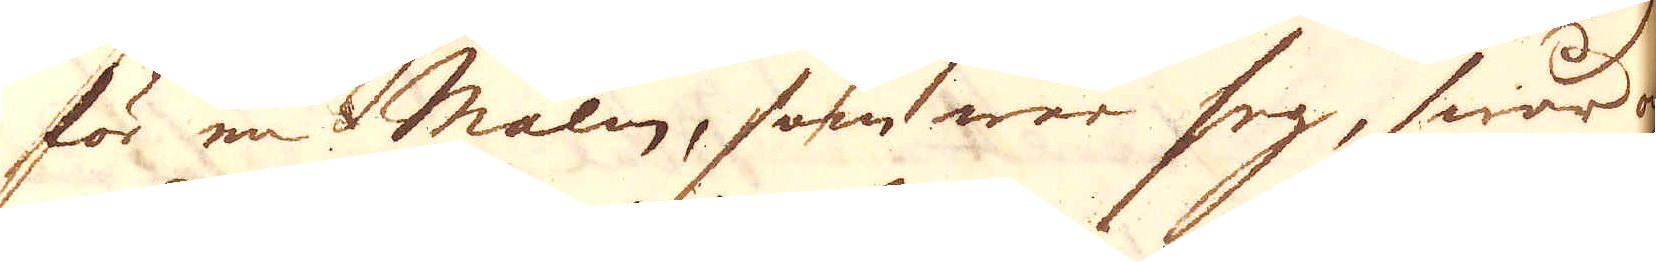för en Malm, som war seg, swår och
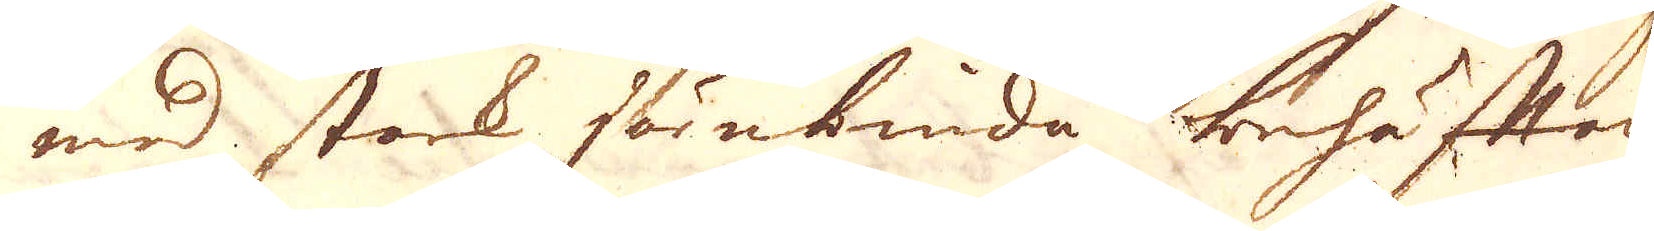med stark järnbinda behäftad,
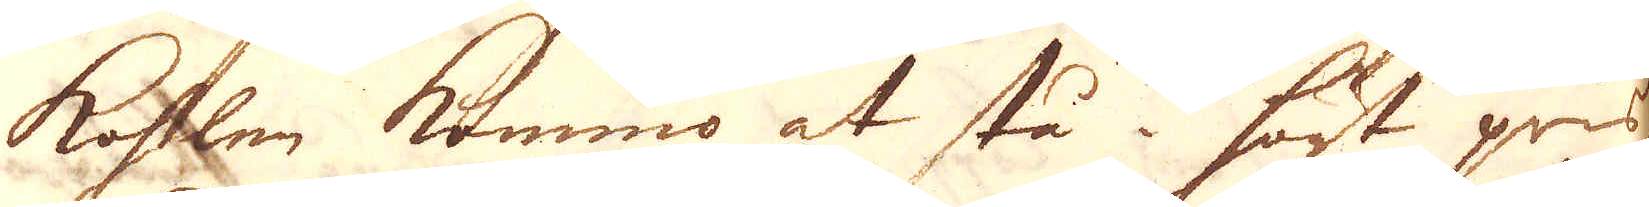kohlen kommo at stå i högt grus
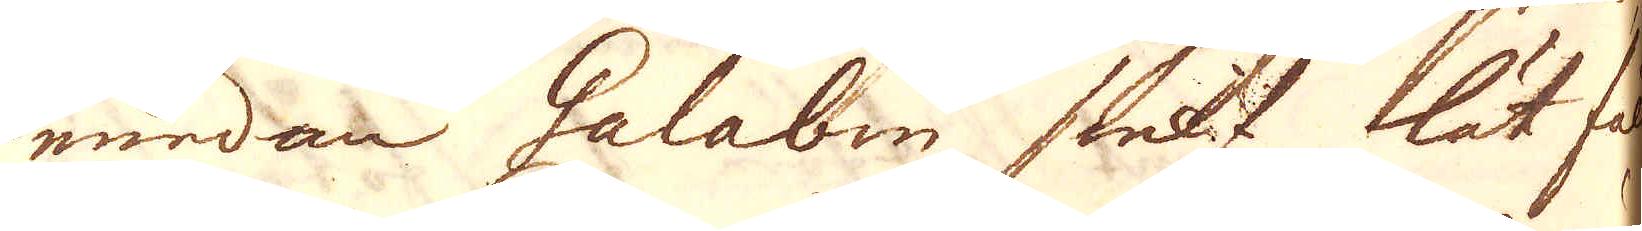emedan Galabin sielf lät fäl-
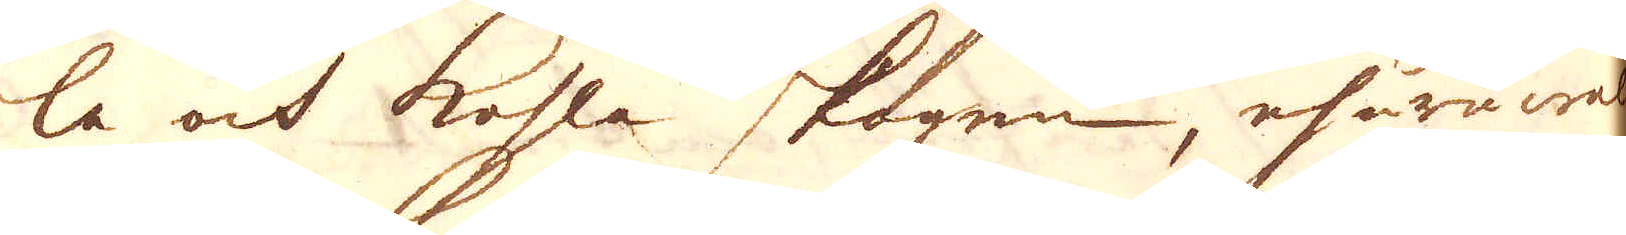la och kohla skogen, ehuruwäl
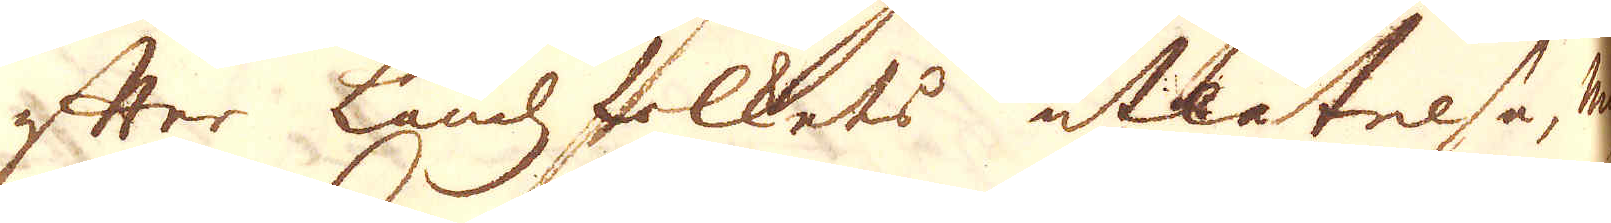efter Landsfolkets utlåtelså, man
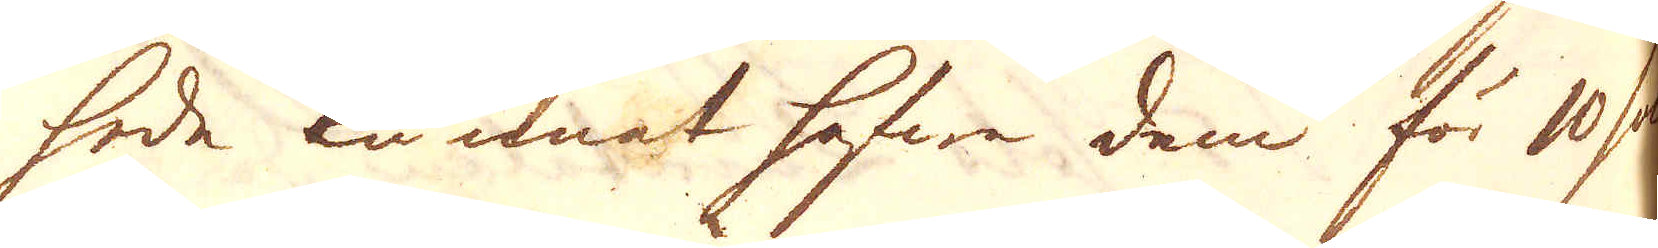hade kunnat hafwa dem för 10 sols
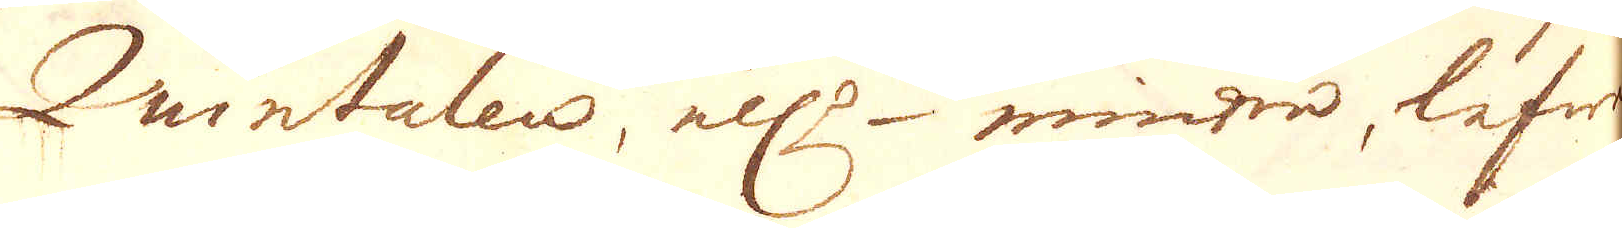Quintalen, el:r wintre lefwe-
